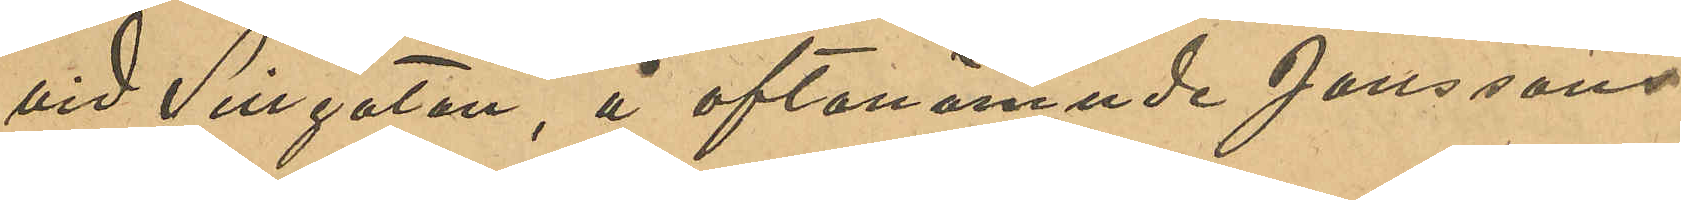vid Sillgatan, å ofvannämnde Jonssons
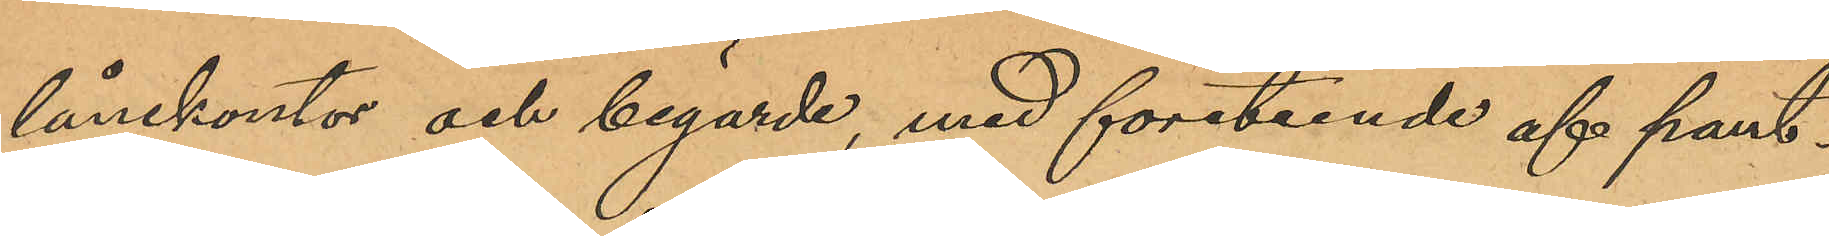lånekontor och begärde, med företeende af pant¬
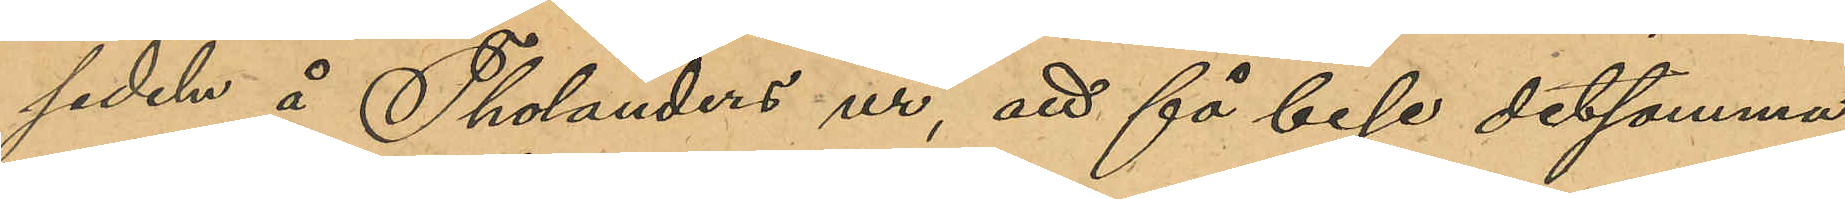sedeln å Tholanders ur, att få bese detsamma.
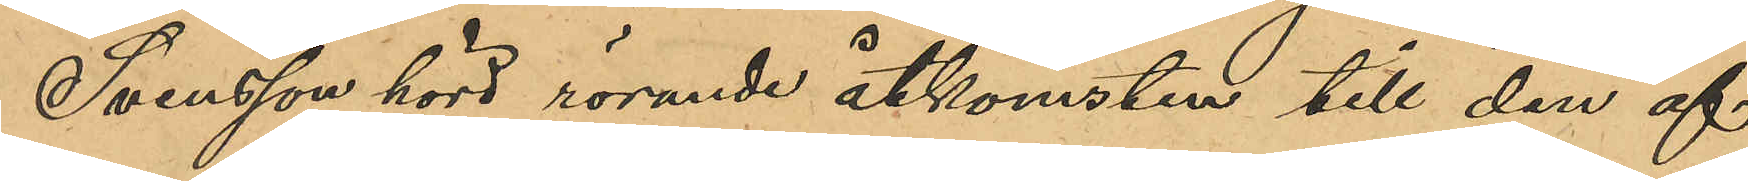Svensson hörd rörande åtkomsten till den af
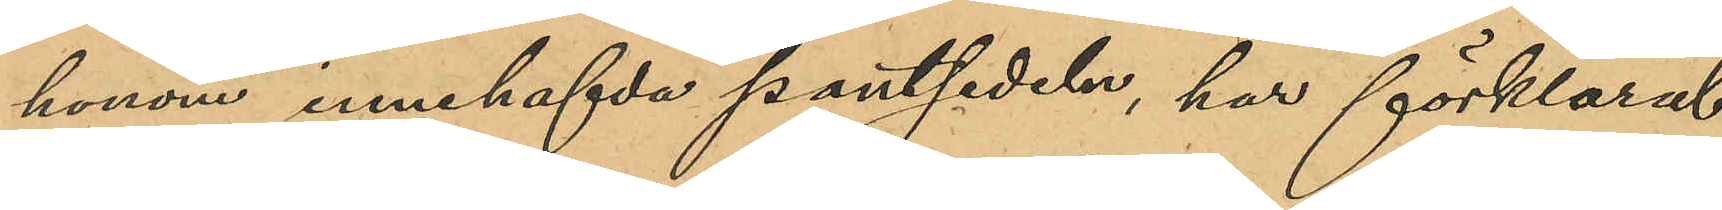honom innehafda pantsedeln, har förklarat
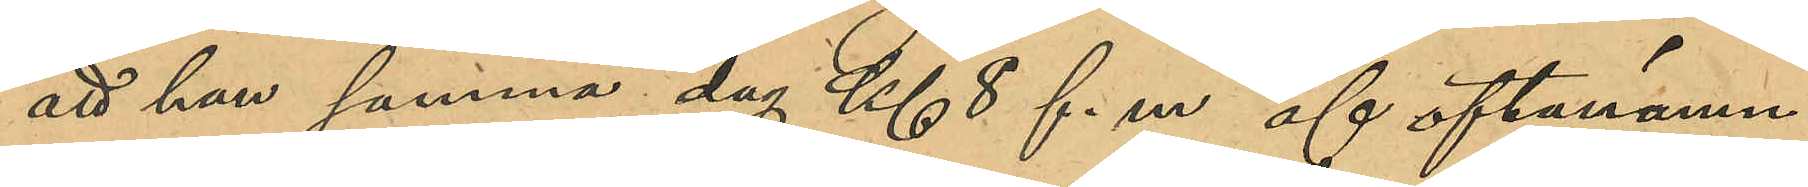att han samma dag Kl 8 f.m af ofvannämn¬
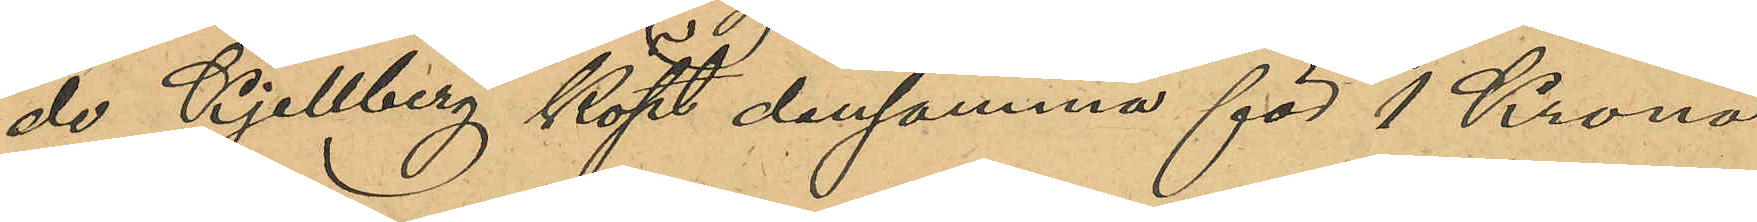de Kjellberg köpt densamma för 1 Krona
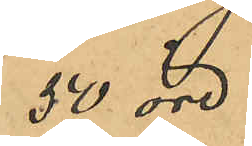50 öre.
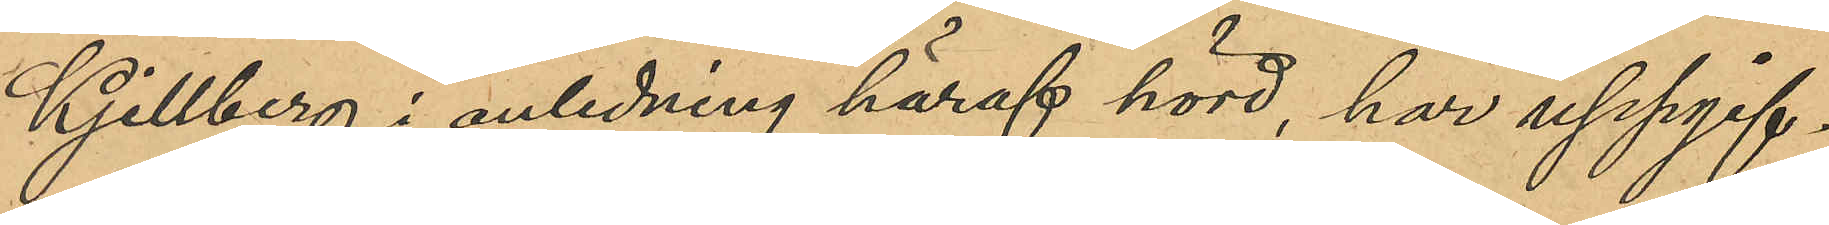Kjellberg i anledning häraf hörd, har uppgif¬
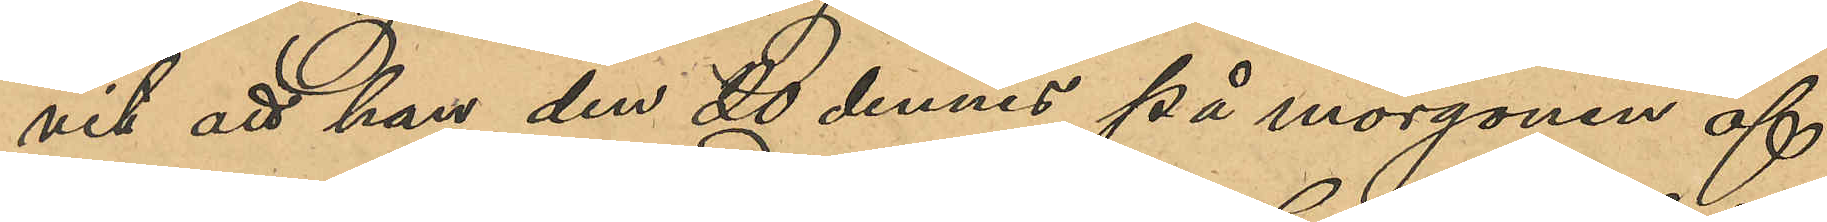vit att han den 20 dennes på morgonen af
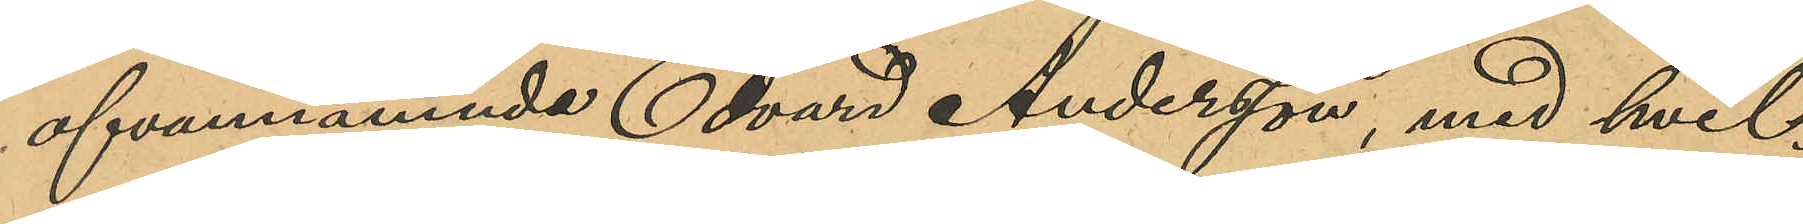ofvannämnde Edvard Andersson, med hvil¬
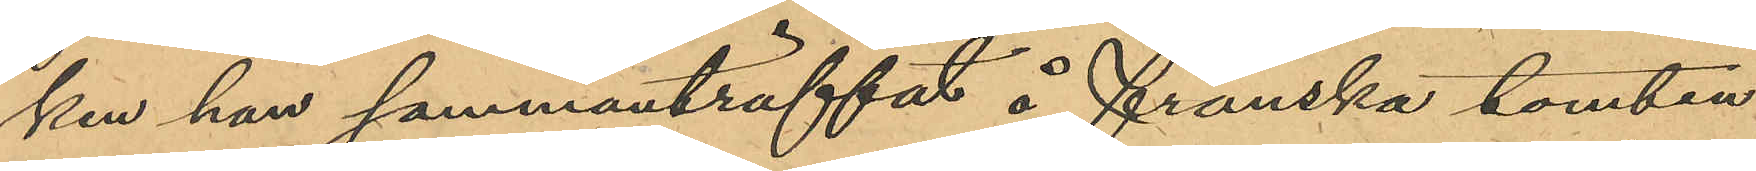ken han sammanträffat å Franska tomten
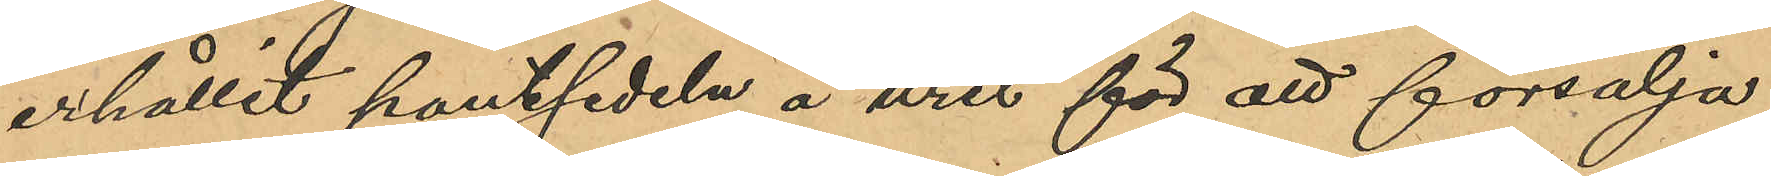erhållit pantsedeln å uret för att försälja;
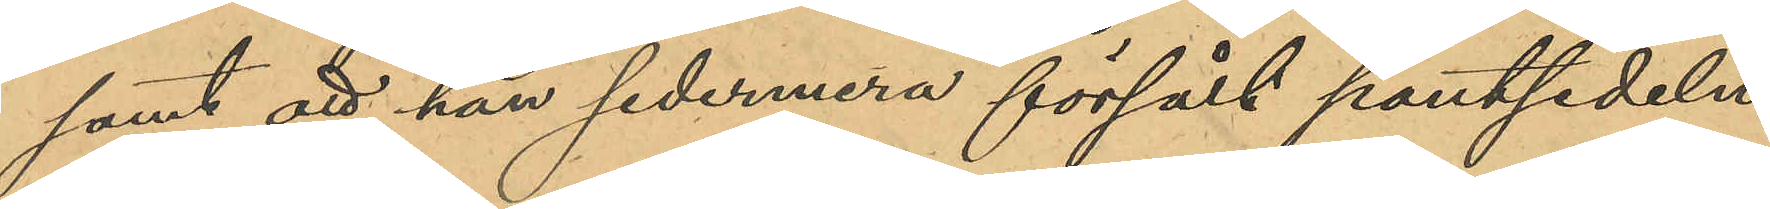samt att han sedermera försålt pantsedeln
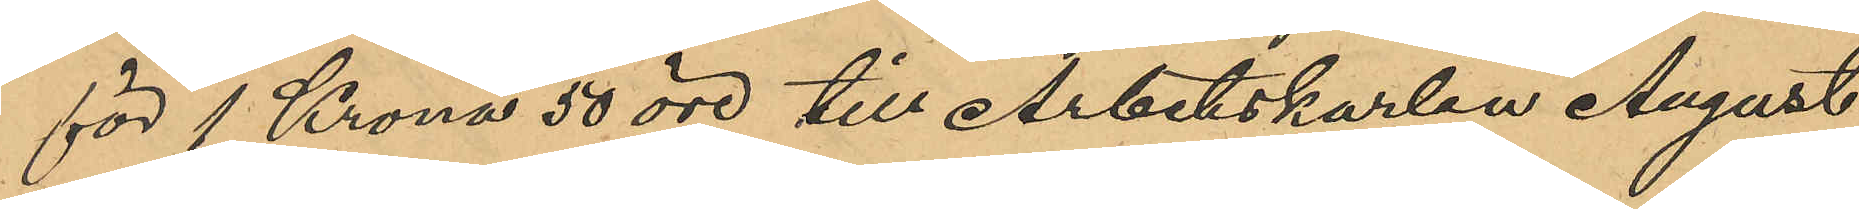för 1 Krona 50 öre till Arbetskarlen August
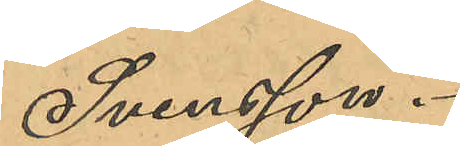Svensson.
